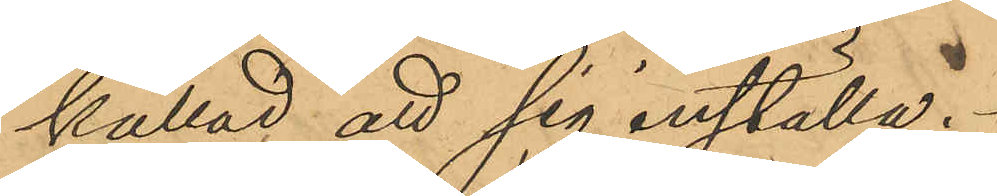kallad att sig inställa.
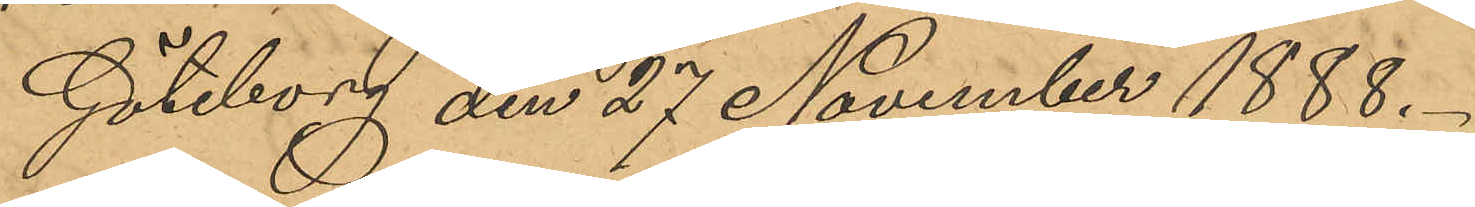Göteborg den 27 November 1888.
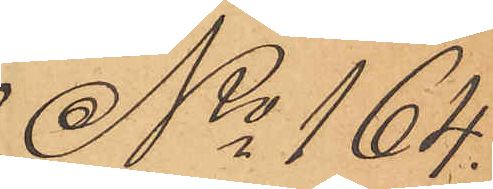No 164.
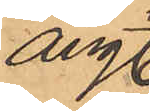ang
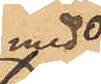med
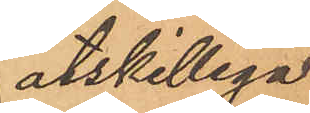åtskilliga
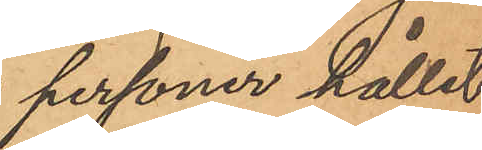personer hållet
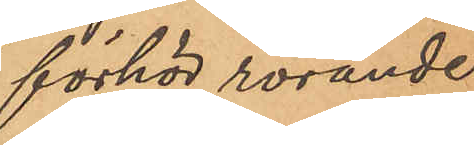förhör rörande
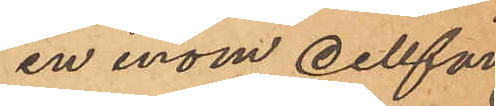en inom cellfän¬
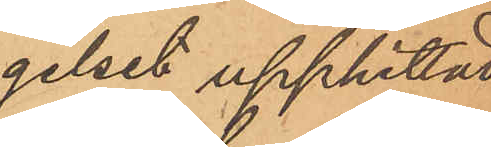gelset upphittad
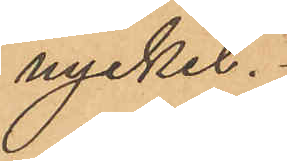nyckel.
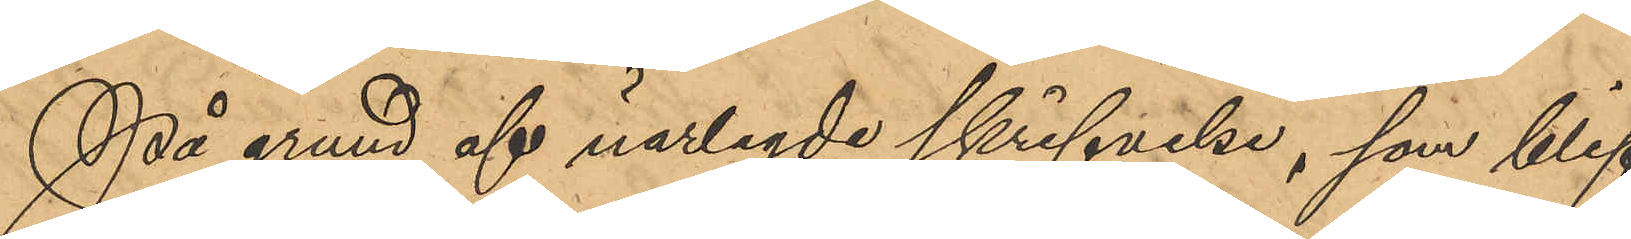På grund af närlagde skrifvelse, som blif¬
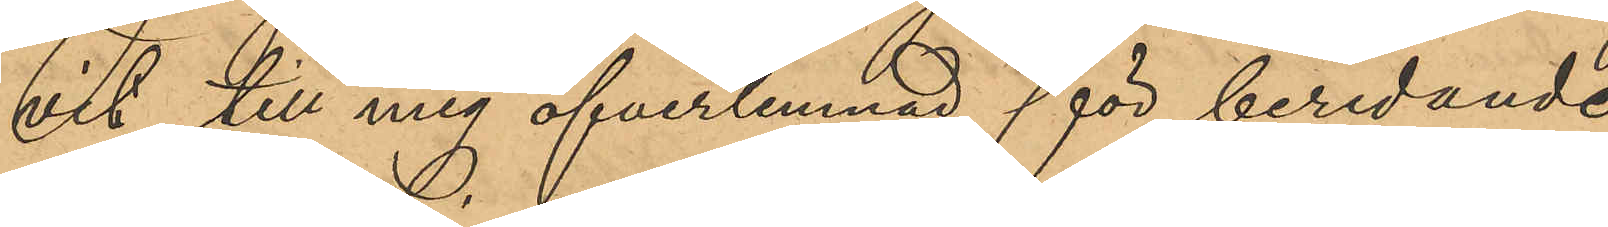vit till mig öfverlemnad för beredande
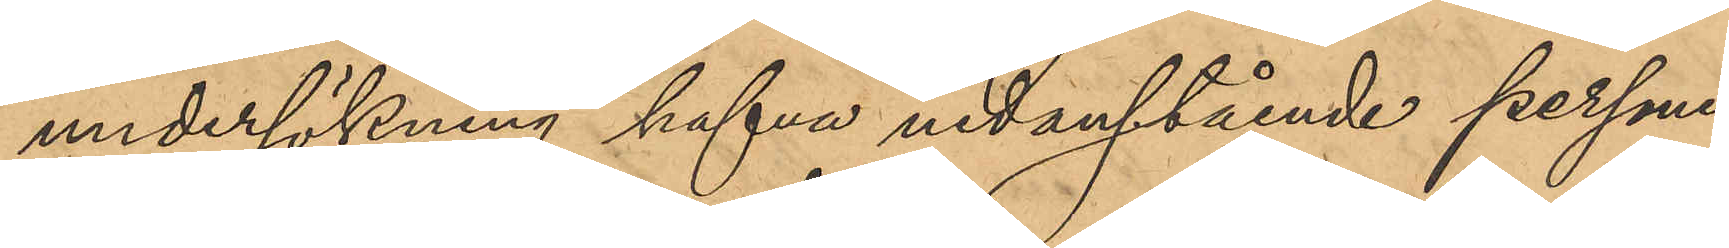undersökning hafva nedanstående personer
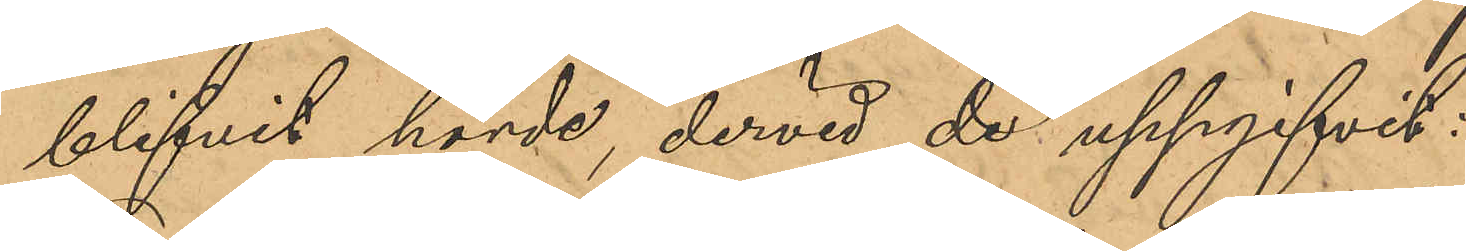blifvit hörde, dervid de uppgifvit:
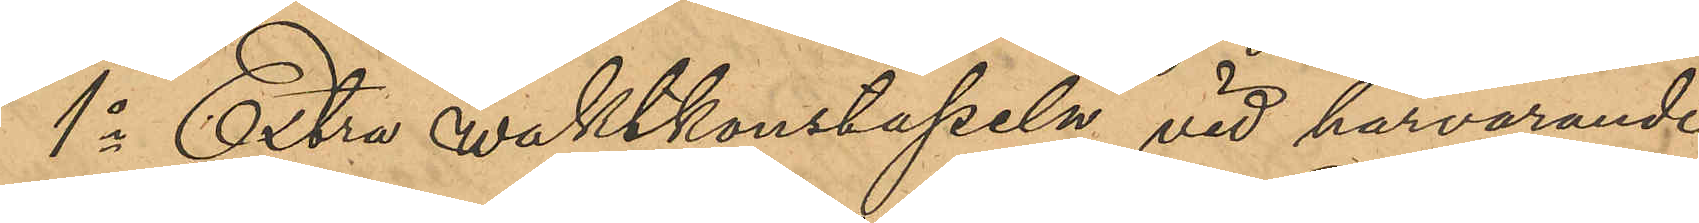1o Extra waktkonstapeln vid härvarande
